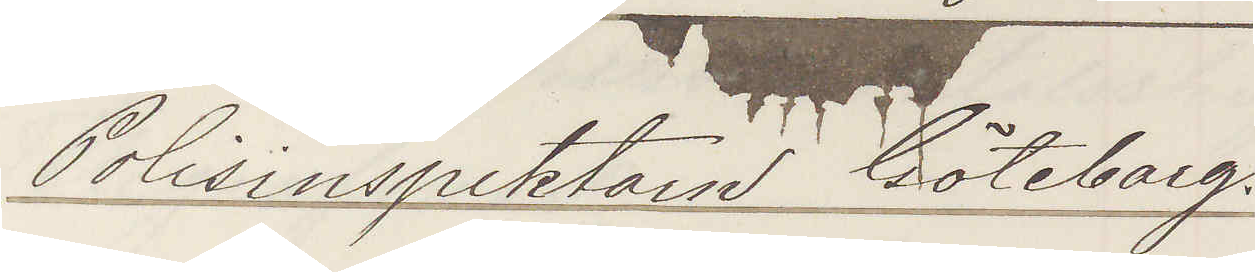Polisinspektorn Göteborg.
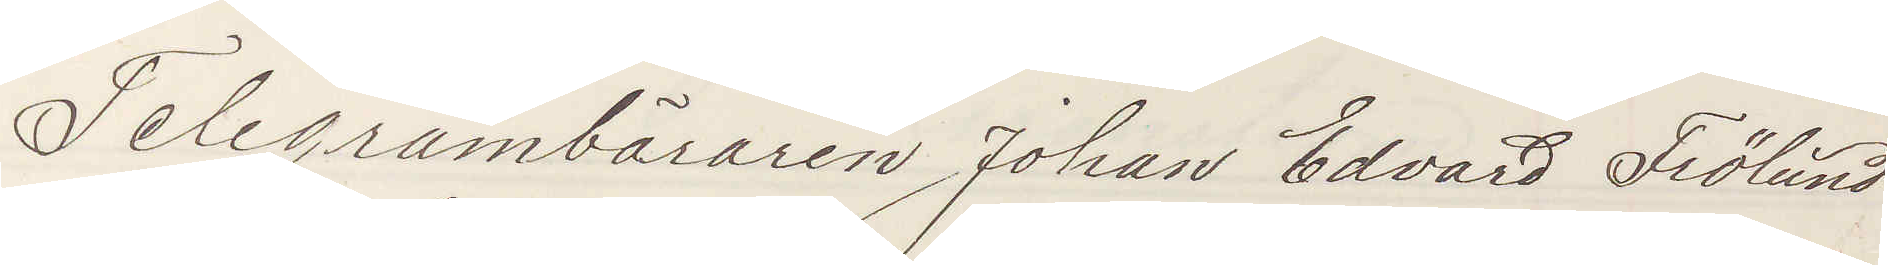Telegrambäraren Johan Edvard Frölund
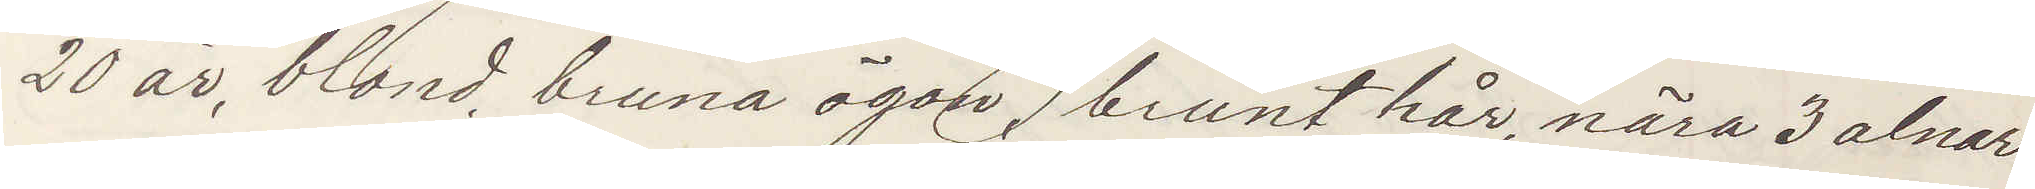20 år, blond, bruna ögon, brunt hår, nära 3 alnar,
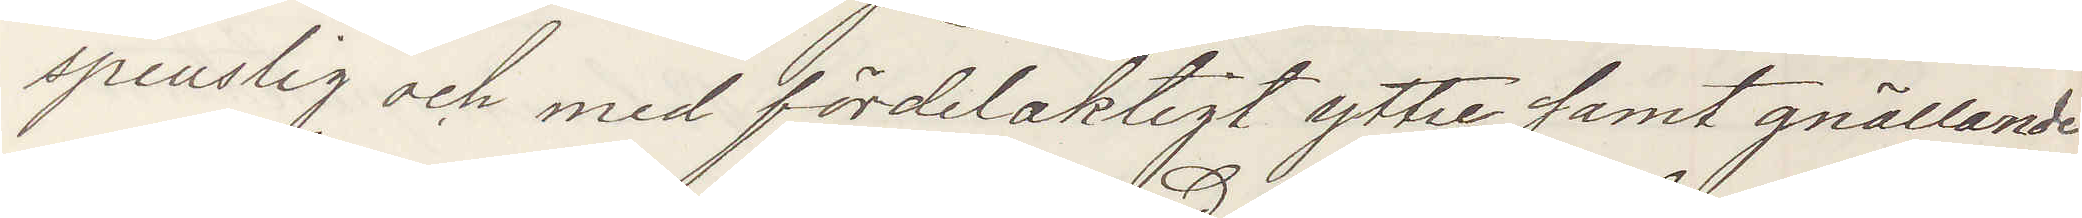spenslig och med fördelaktigt yttre samt gnällande
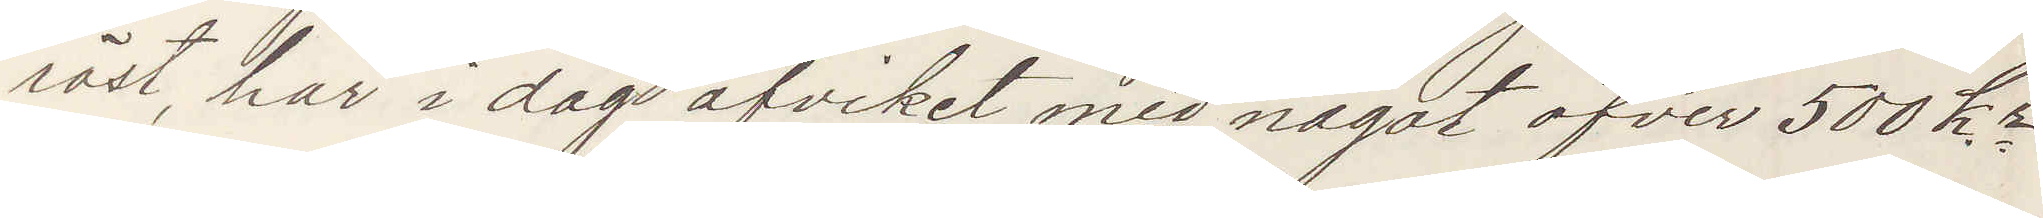röst, har i dag afvikit med något öfver 500 kr
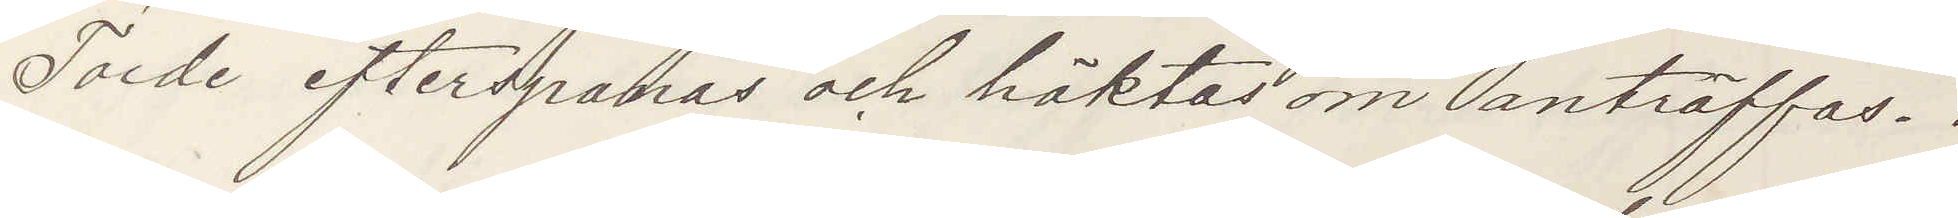Torde efterspanas och häktas om anträffas.
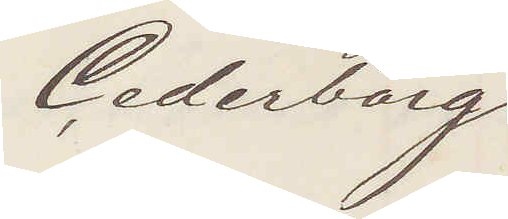Cederborg.
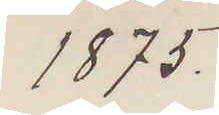1875.
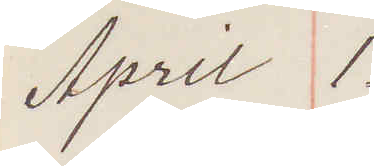April 1.
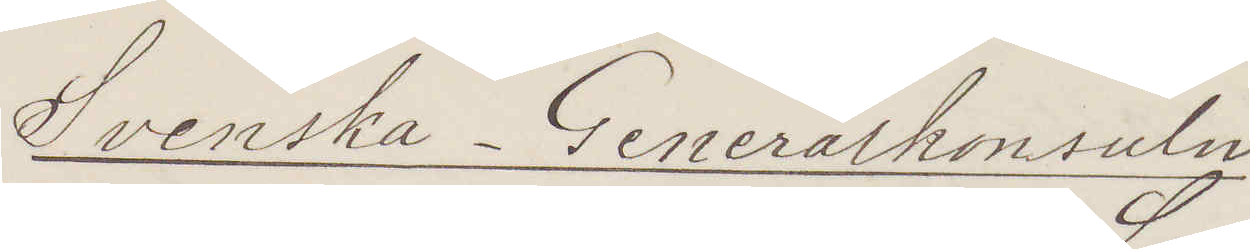Svenska-Generalkonsuln
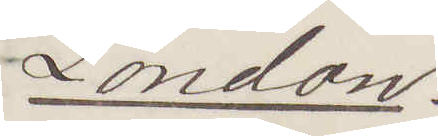London.
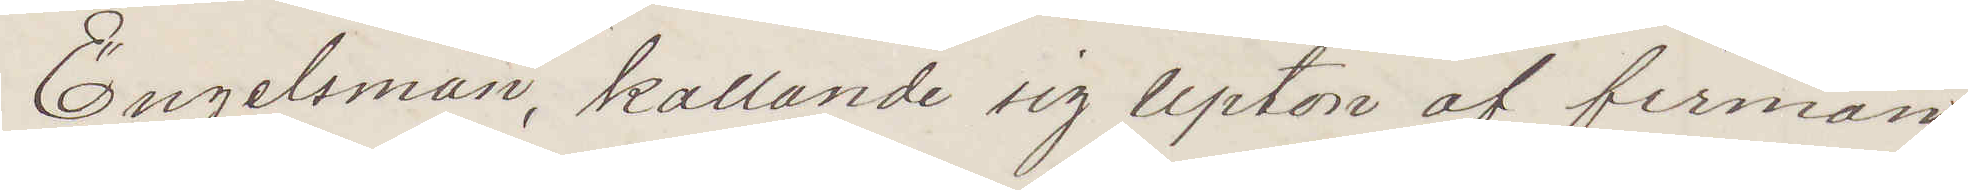Engelsman, kallande sig Upton af firman
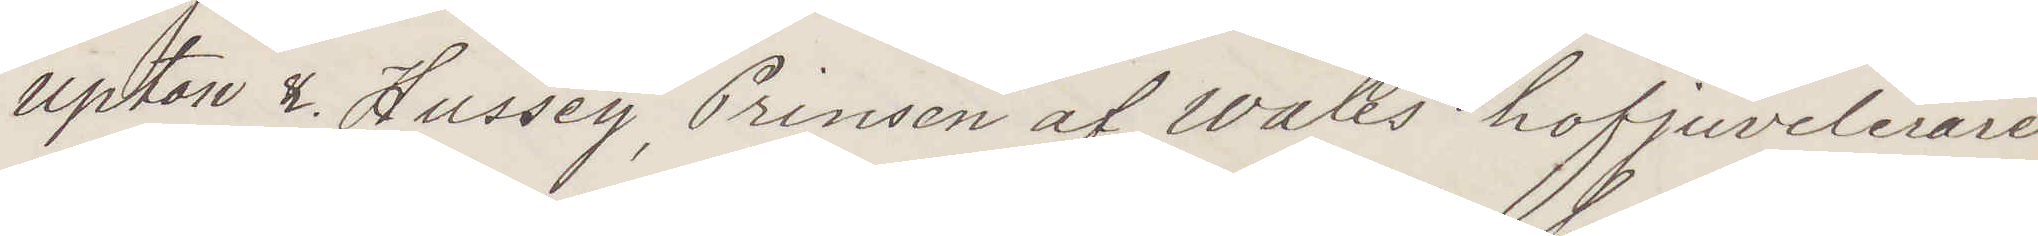Upton & Hussey, Prinsen af Wales hofjuvelerare
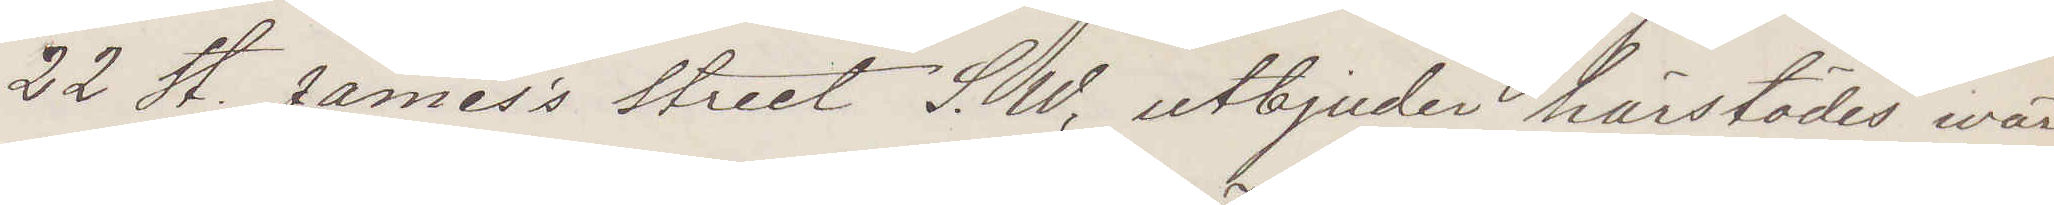22 St James's Street S. W, utbjuder härstädes wär¬
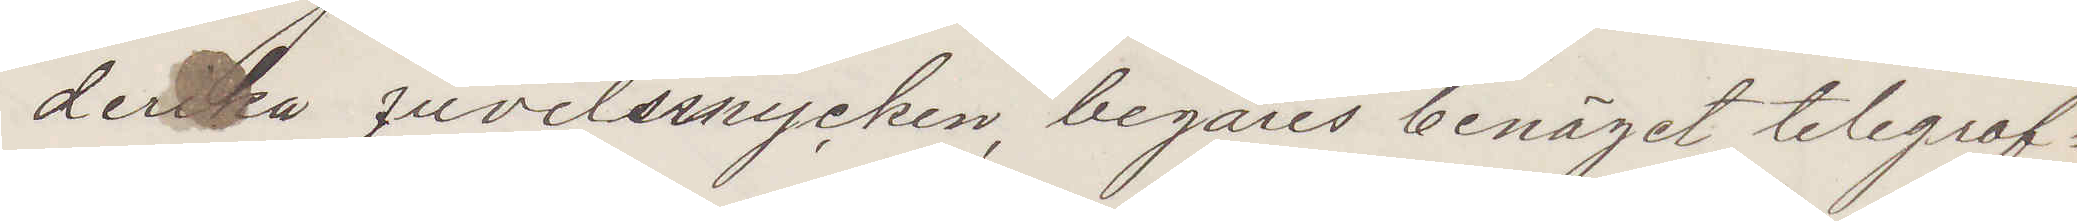derika juvelsmycken, begäres benäget telegraf¬
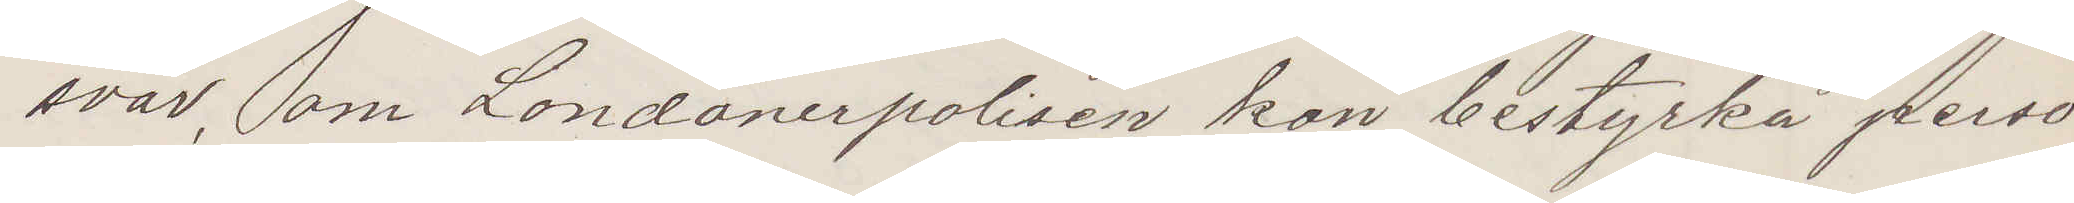svar, om Londonerpolisen kan bestyrka perso¬
